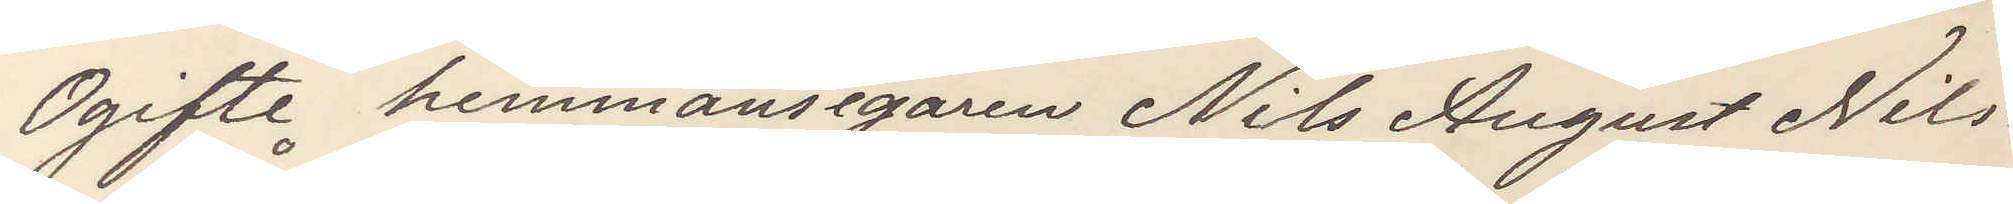Ogifte hemmansegaren Nils August Nils¬
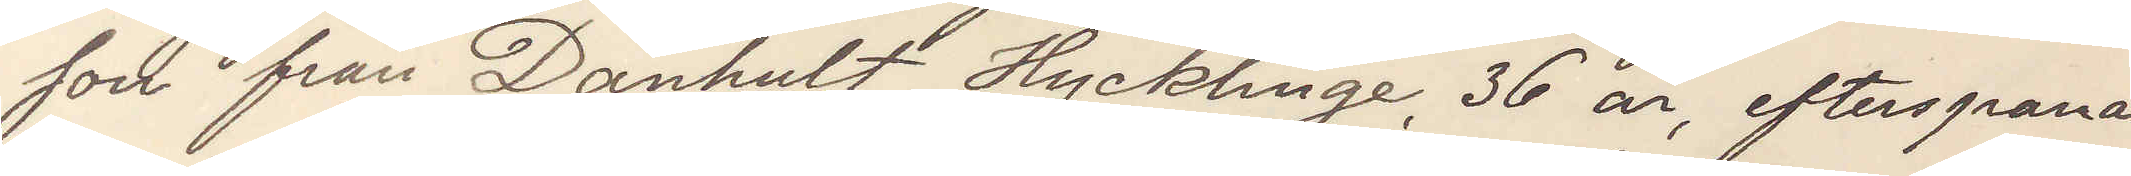son från Dånhult Hycklinge, 36 år, efterspanas
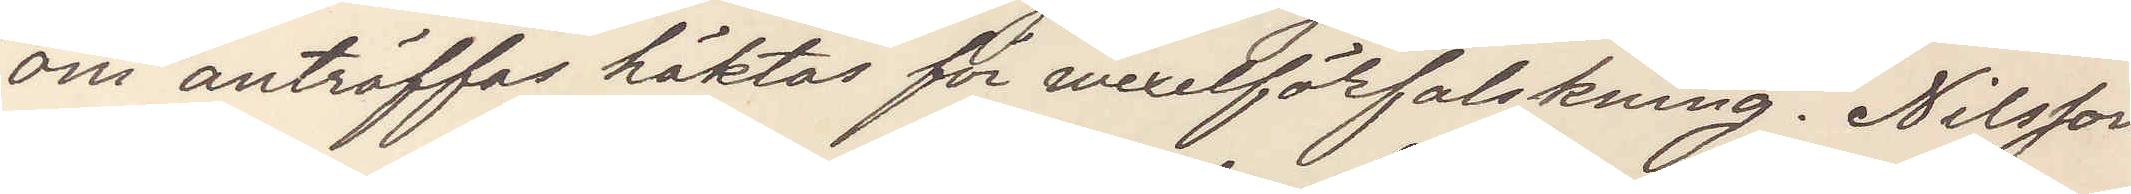om anträffas häktas för wexelförfalskning. Nilsson
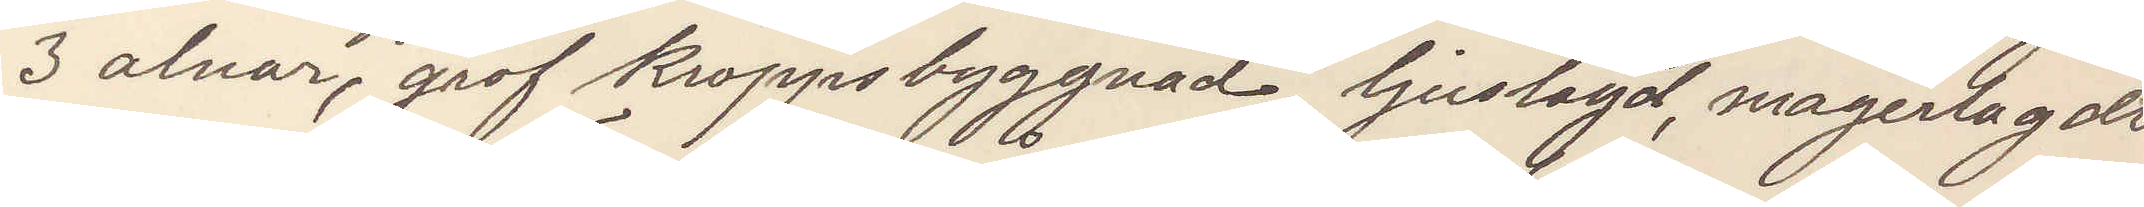3 alnar, grof kroppsbyggnad, ljuslagd, magerlagdt
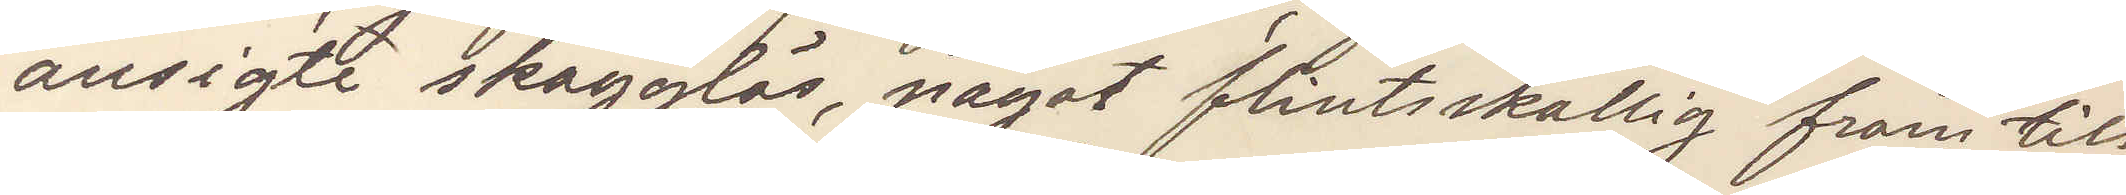ansigte skägglös, något flintskallig fram till
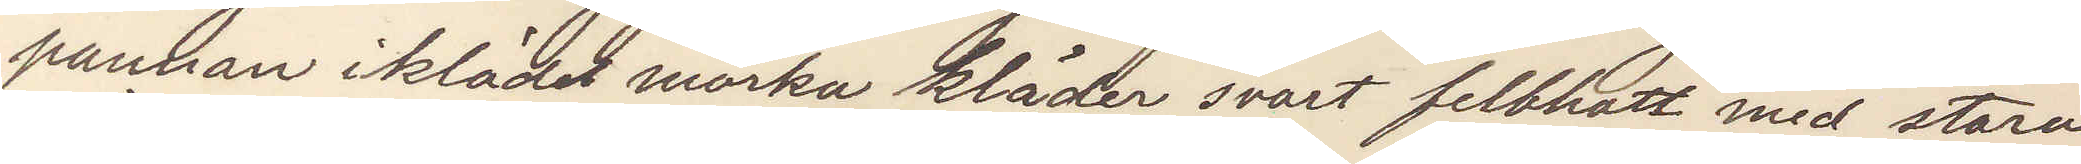pannan iklädd mörka kläder svart filthatt med stora
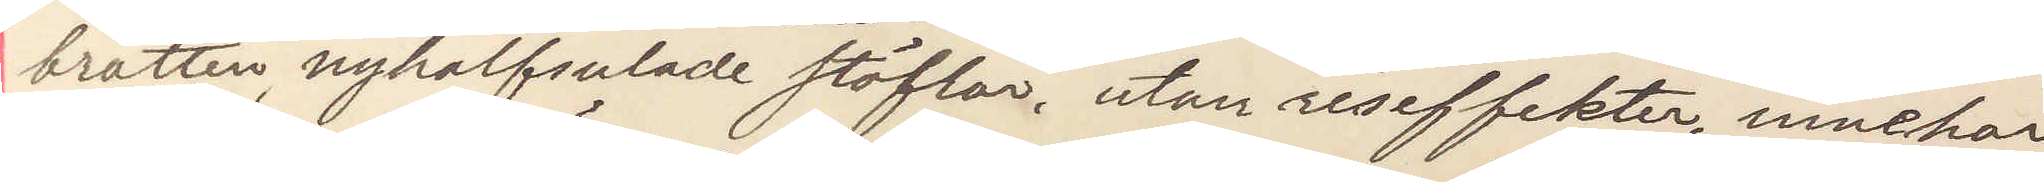brätten, nyhalfsulade stöflar, utan reseffekter, innehar
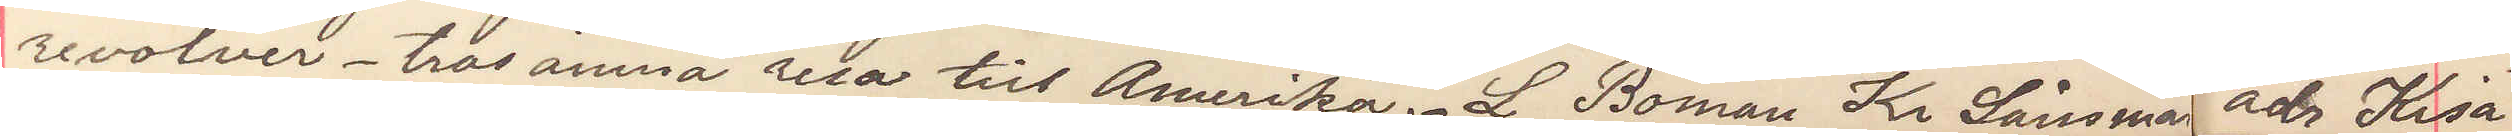revolver. tros ämna resa till Amerika. L Boman Kr Länsman adr Kisa
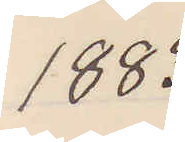1883
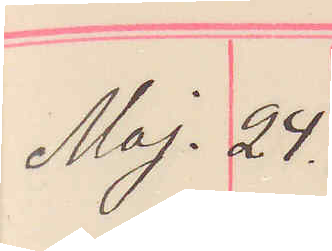Maj. 24.
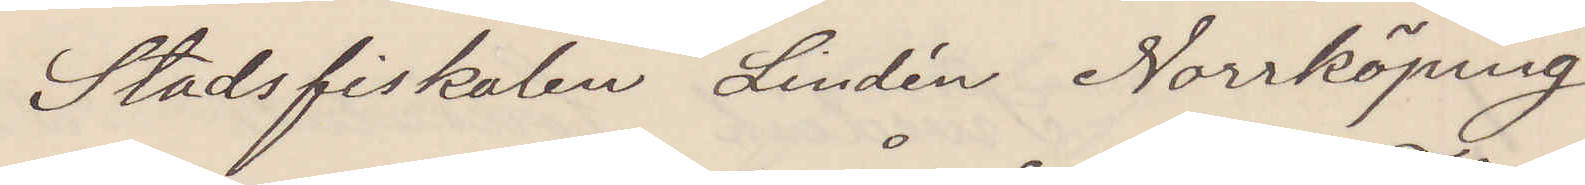Stadsfiskalen Lindén Norrköping
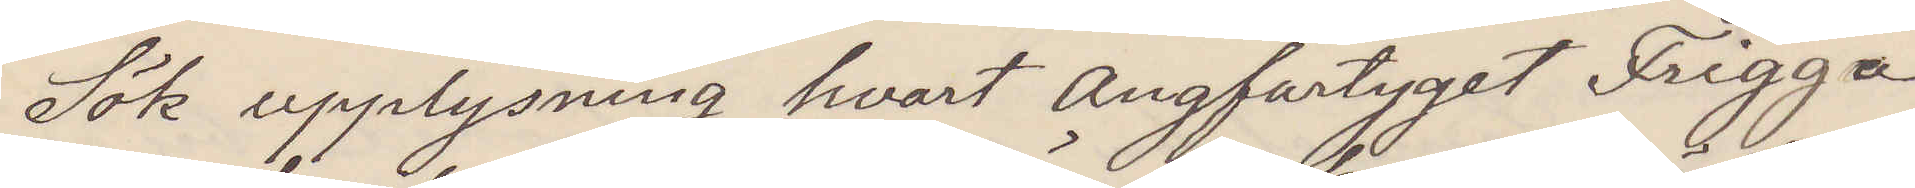Sök upplysning hvart Ångfartyget Frigga,
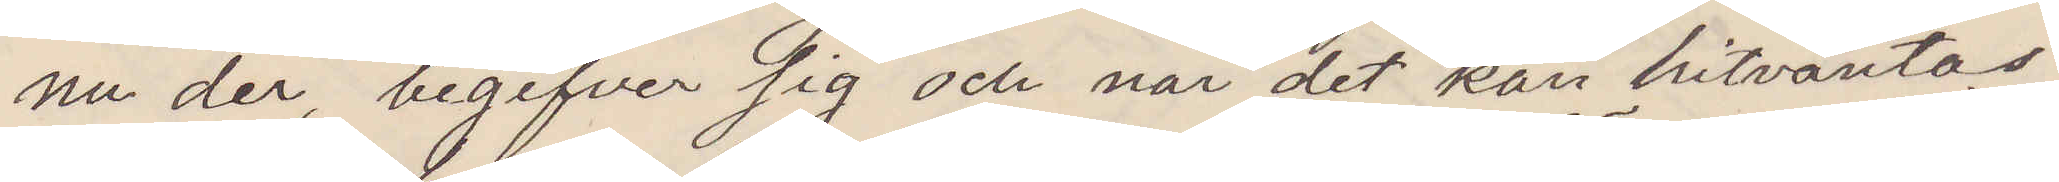nu der, begifver sig och när det kan hitväntas.
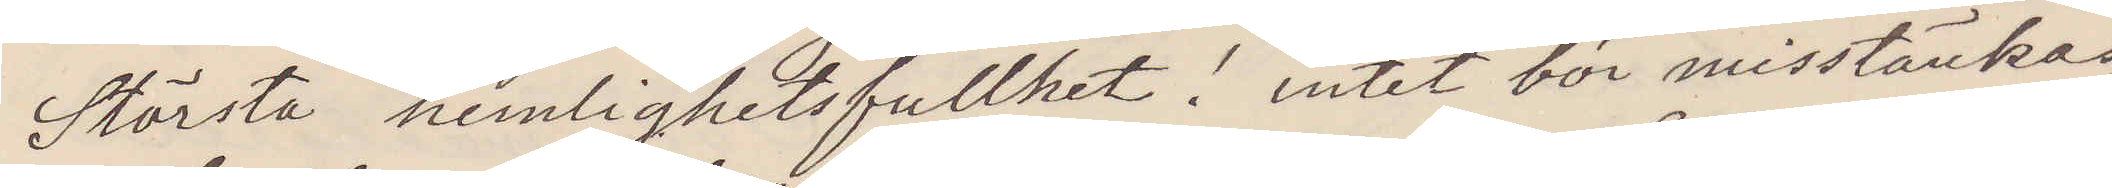Största hemlighetsfullhet! Intet bör misstänkas
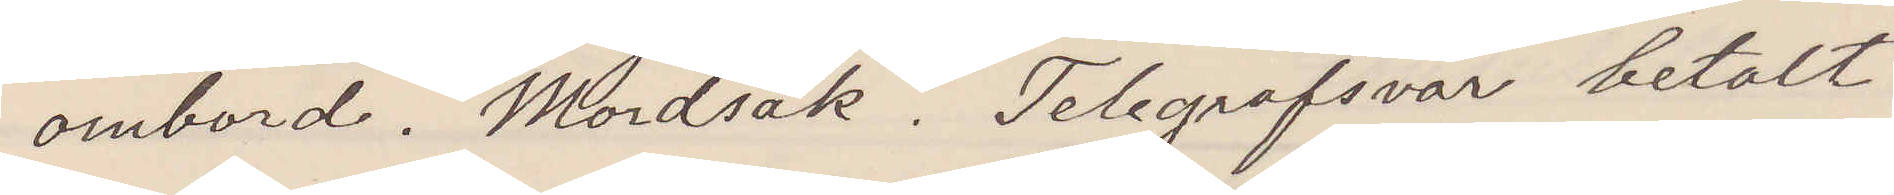ombord. Mordsak. Telegrafsvar betalt
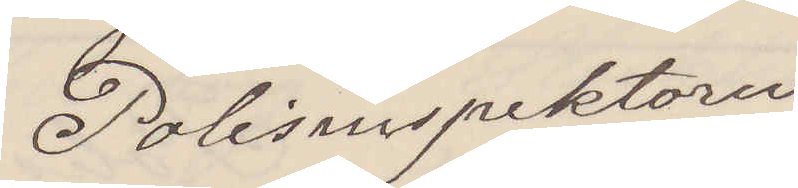Polisinspektorn
